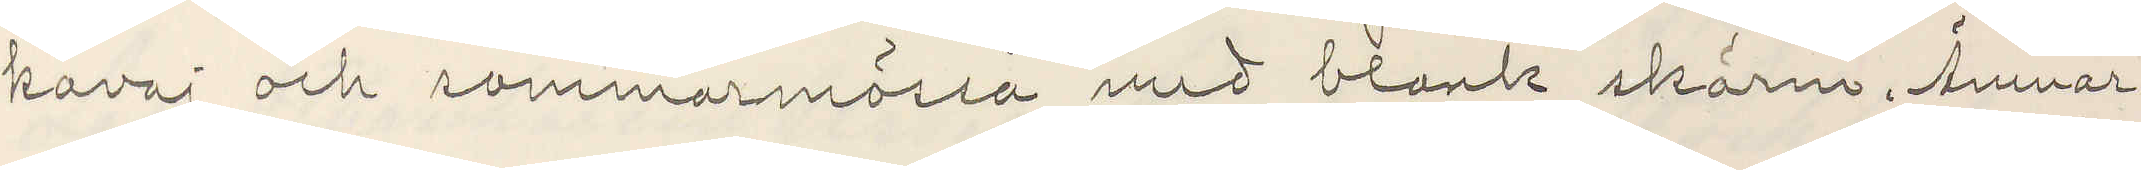kavaj och sommarmössa med blank skärm. Ämnar
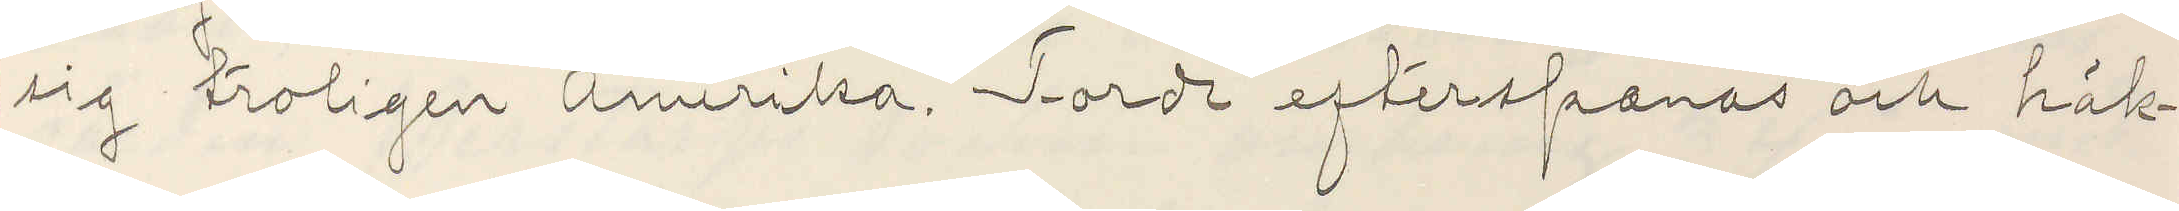sig troligen Amerika. Torde efterspanas och häk¬
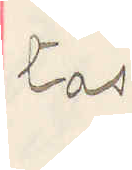tas.
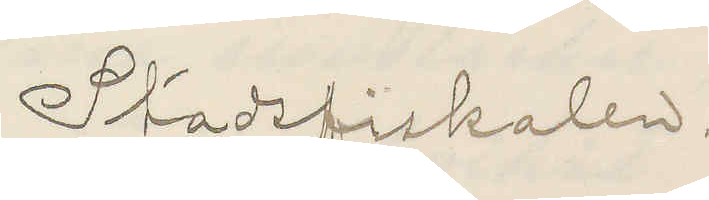Stadsfiskalen.
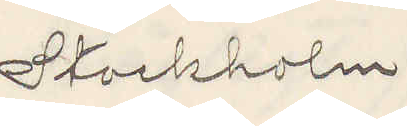Stockholm
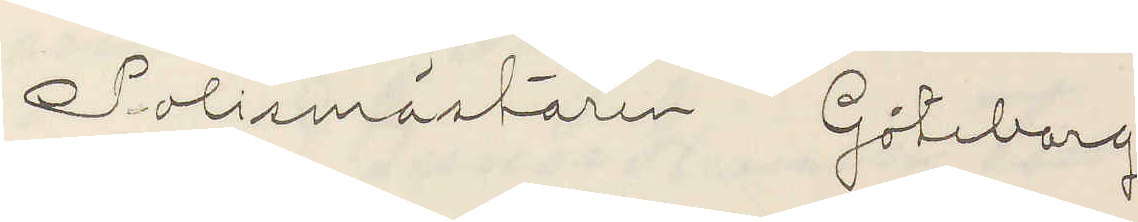Polismästaren Göteborg
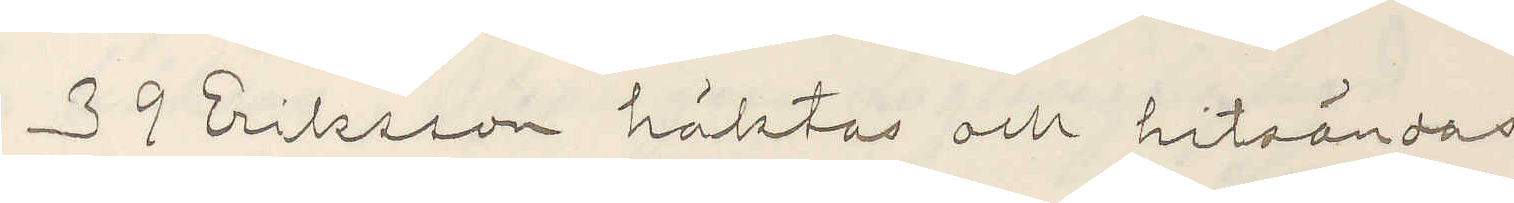39 Eriksson häktas och hitsändas
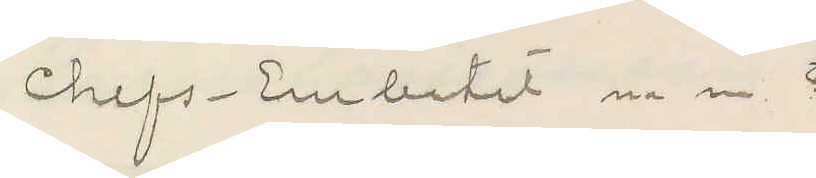Chefs-Embetet m m 
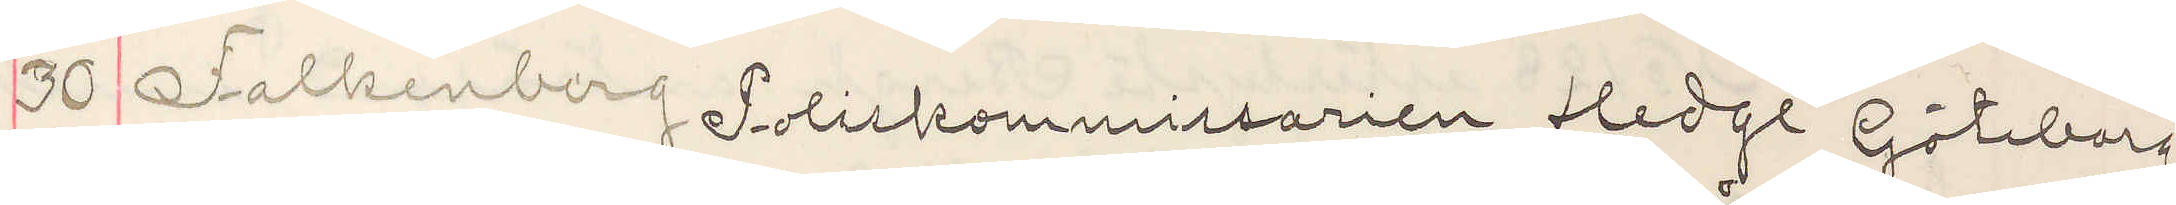30 Falkenberg Poliskommissarien Hedge Göteborg
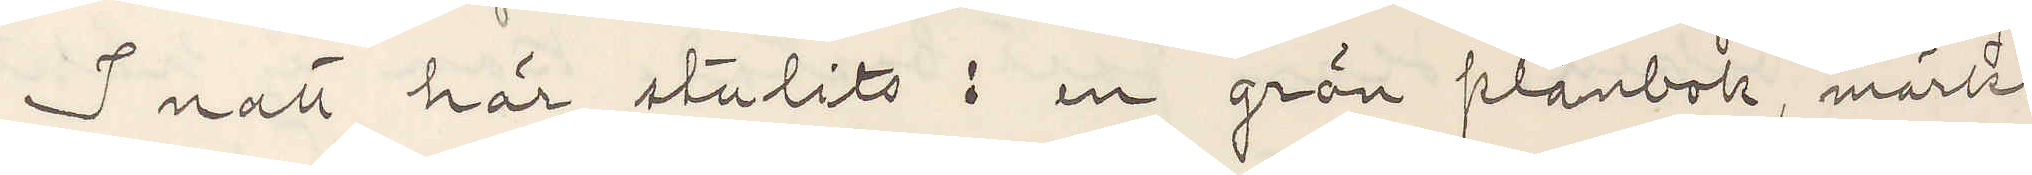I natt här stulits: en grön plånbok, märkt
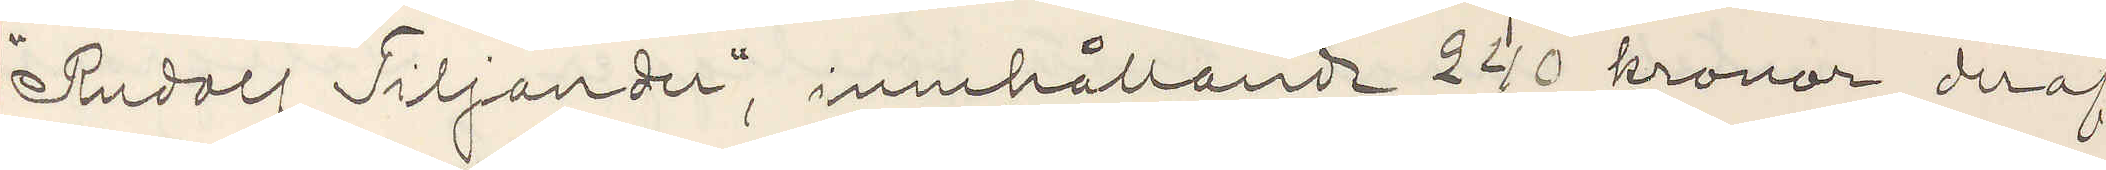"Rudolf Tiljander", innehållande 240 kronor, deraf
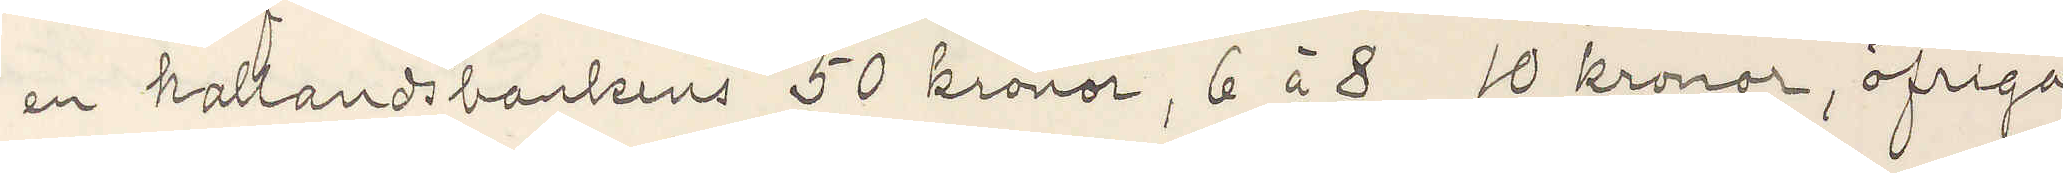en hallandsbankens 50 kronor, 6 à 8 10 kronor, öfriga
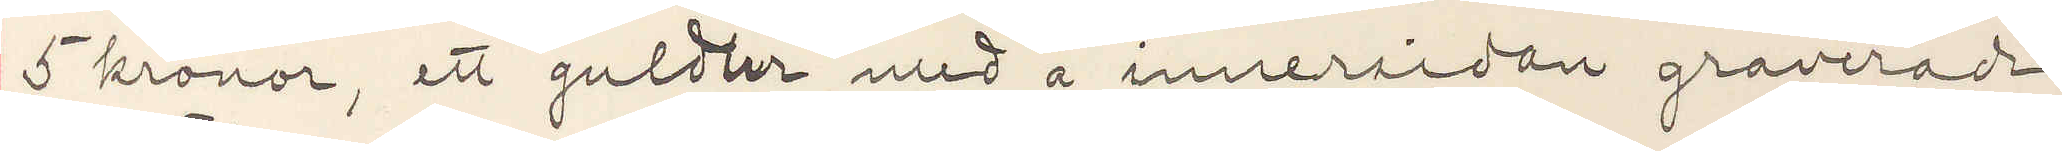5 kronor, ett guldur med å innersidan graverade
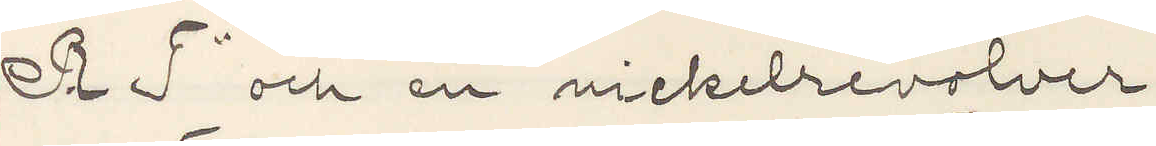"R T" och en nickelrevolver.
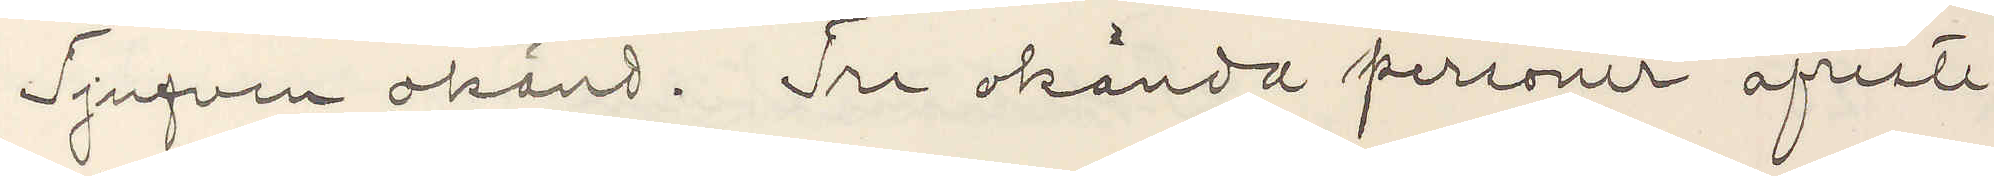Tjufven okänd. Tre okände personer afreste
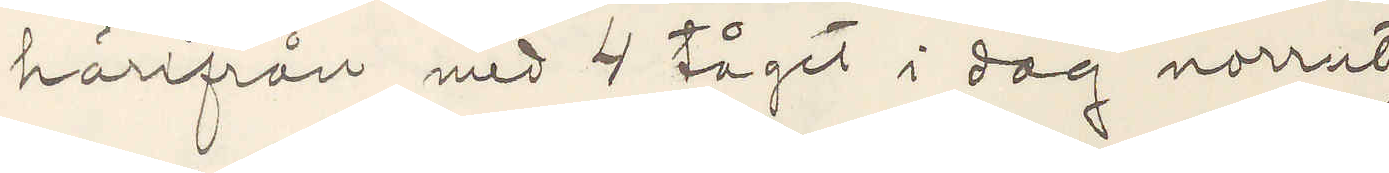härifrån med 4 tåget i dag norrut
